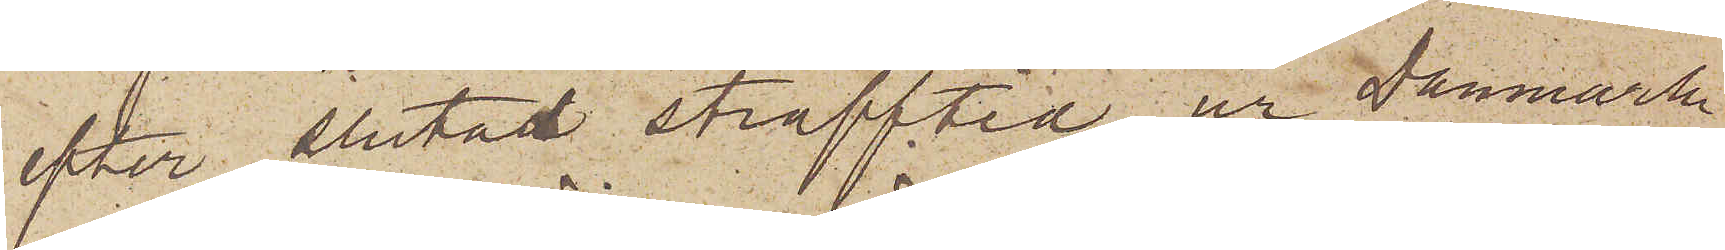efter slutad strafftid, ur Danmark
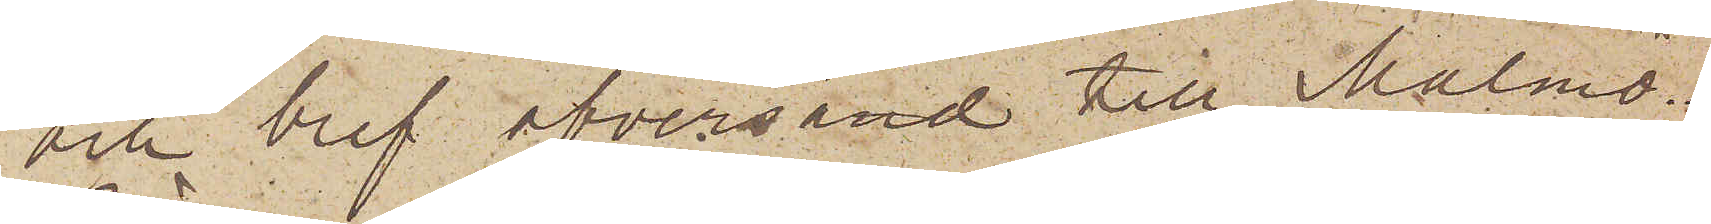och blef öfversänd till Malmö.
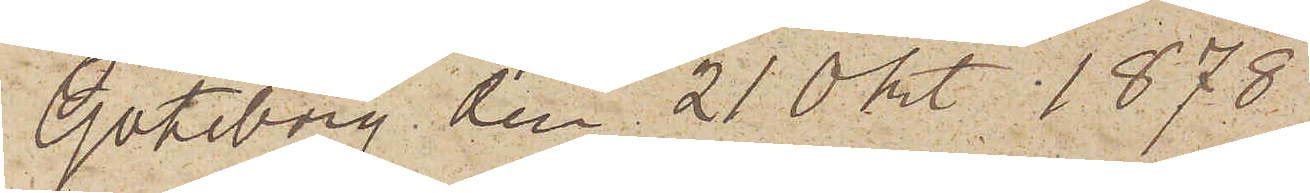Göteborg den 21 0kt. 1878.
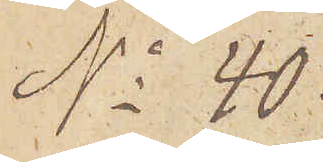No 40
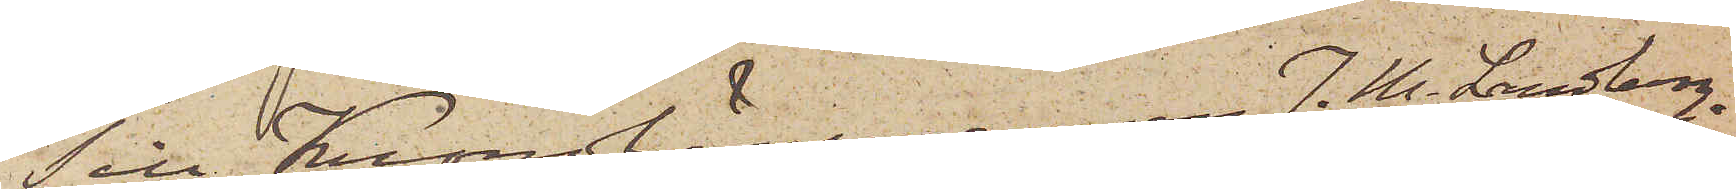Till Kronolänsmannen J. H. Landberg,
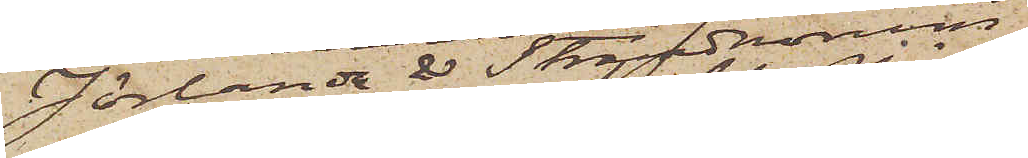Jörlanda & Strandnorum
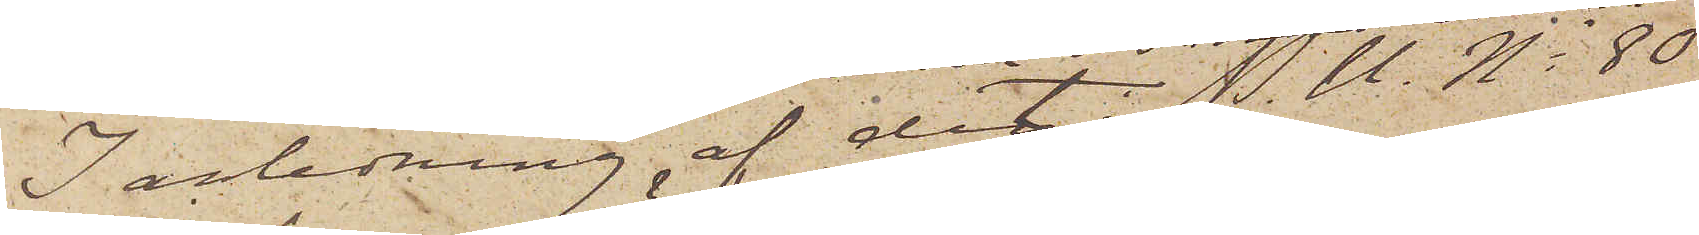I anledning af det P. U. No 80
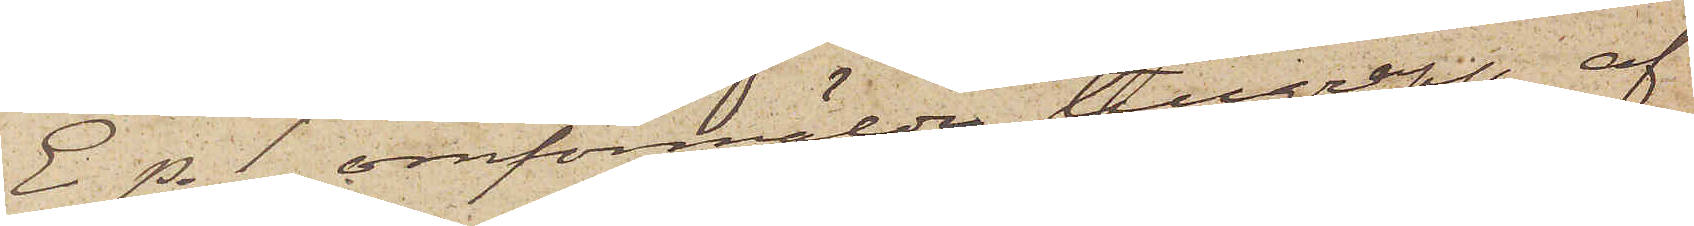E p. 1 omförmälda tillgrepp af
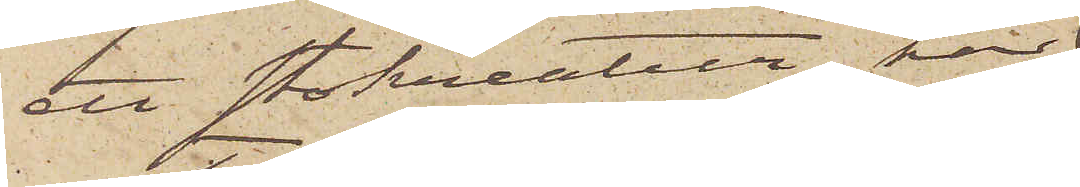ett stokreatur, har
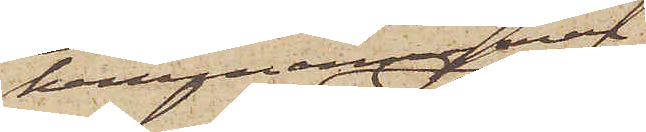hemmansegaren
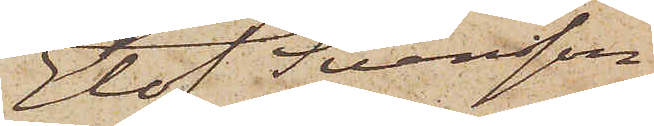Elof Svensson
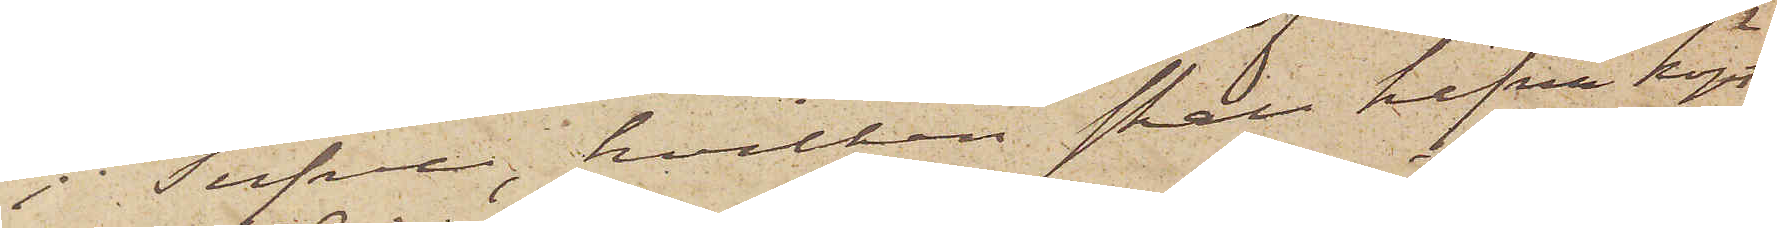i Tufve, hvilken skall hafva köpt
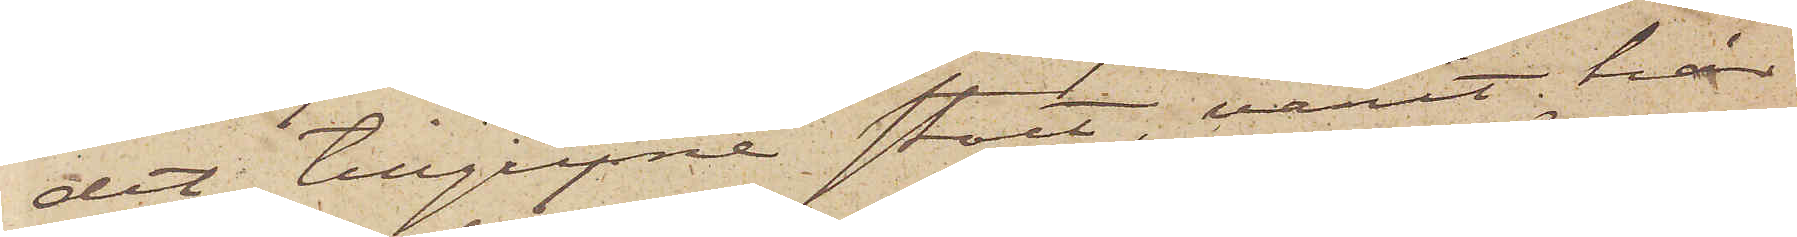det tillgripne stoet, varit här
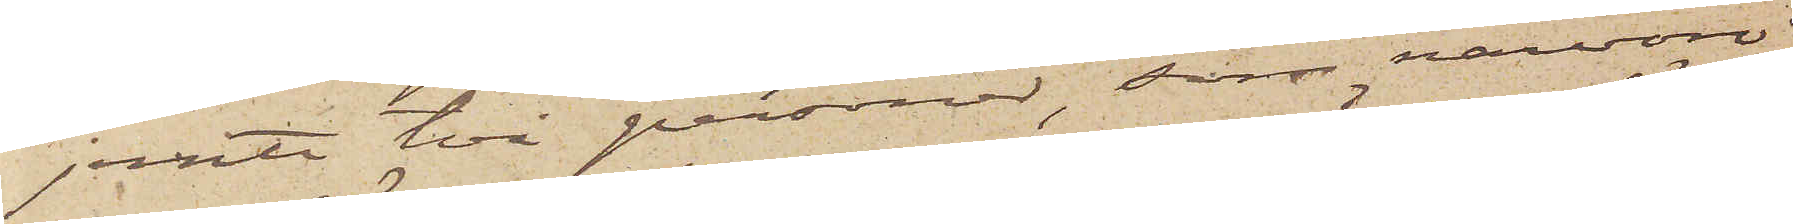jemte två personer, som närvoro
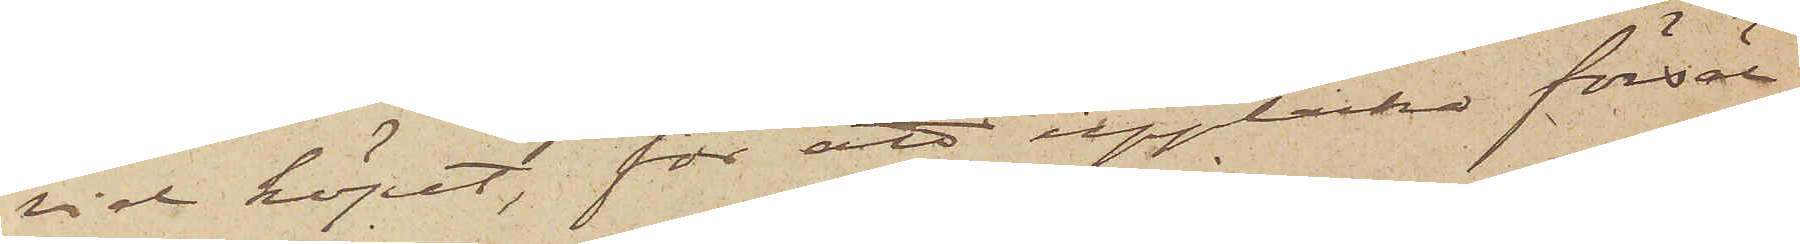vid köpet, för att upptäcka försäl¬
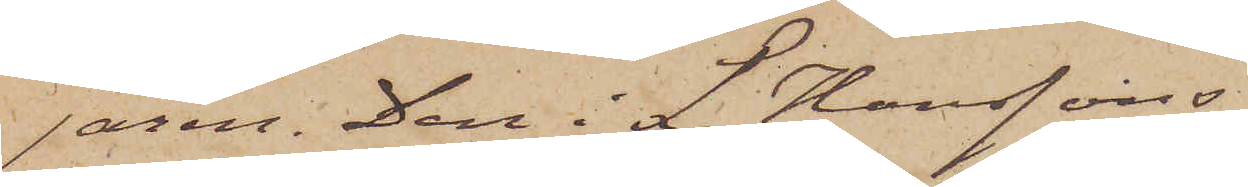jaren: Den i L. Hanssons
